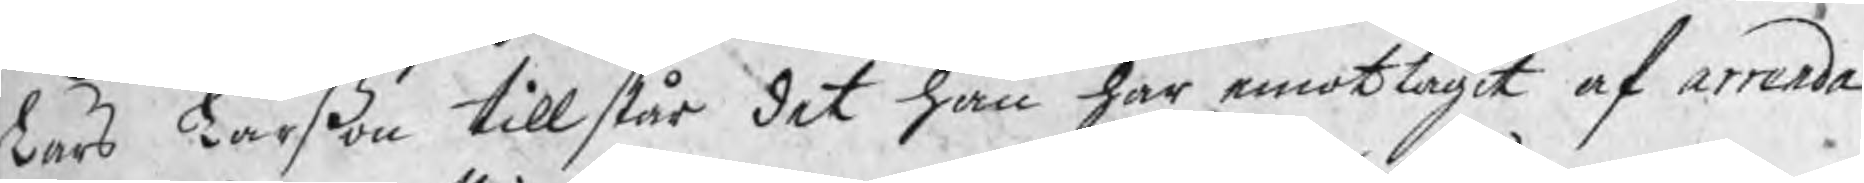Lars Larßon tillstår det han har emottagit af arrenda¬
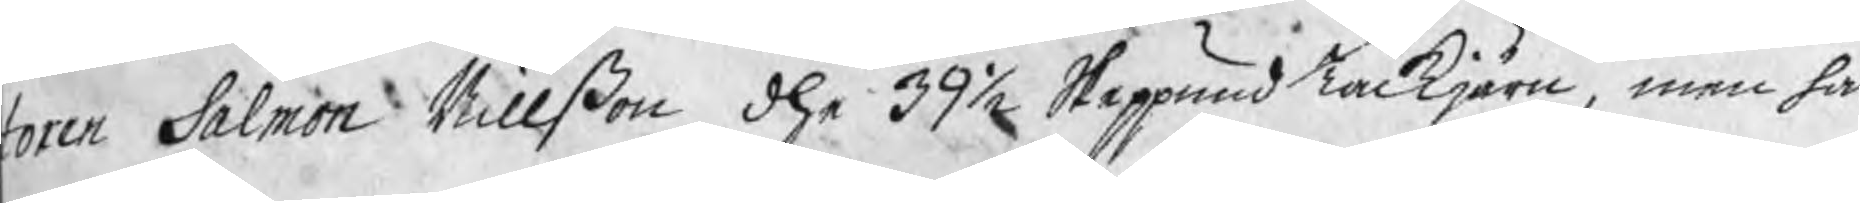toren Salmon Nillßon dhe 39½ Skeppund Tackjärn, men har
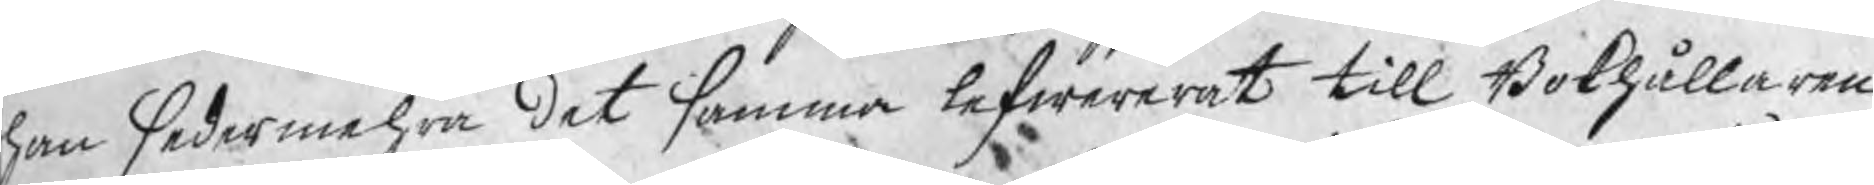han sedermehra det samma lefwererat till Bokhållaren
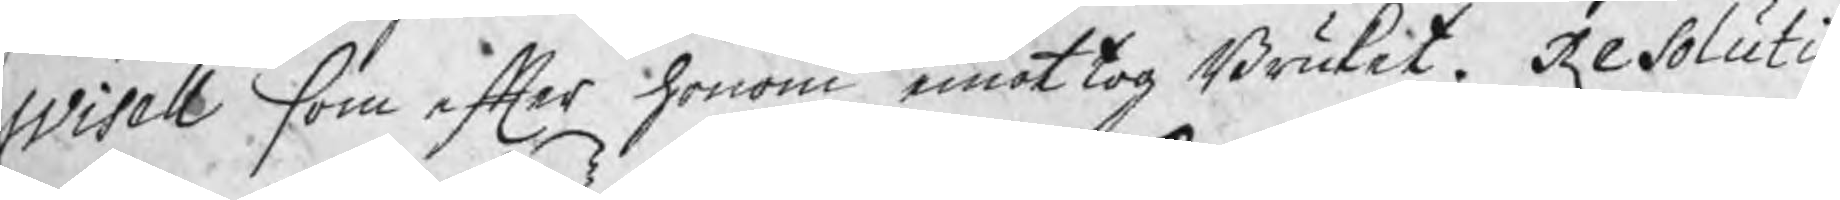Wisell som efter honom emottog Bruket. Resolutio
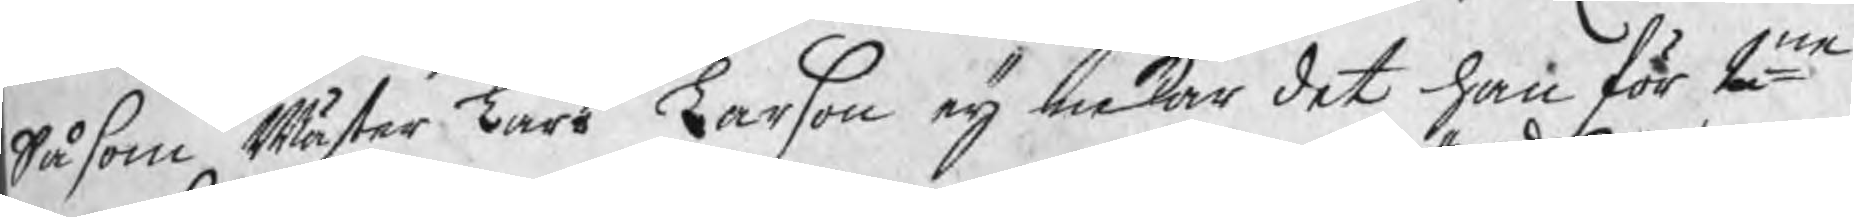Såsom Mäster Lars Larßon eij nekar det han för 2ne
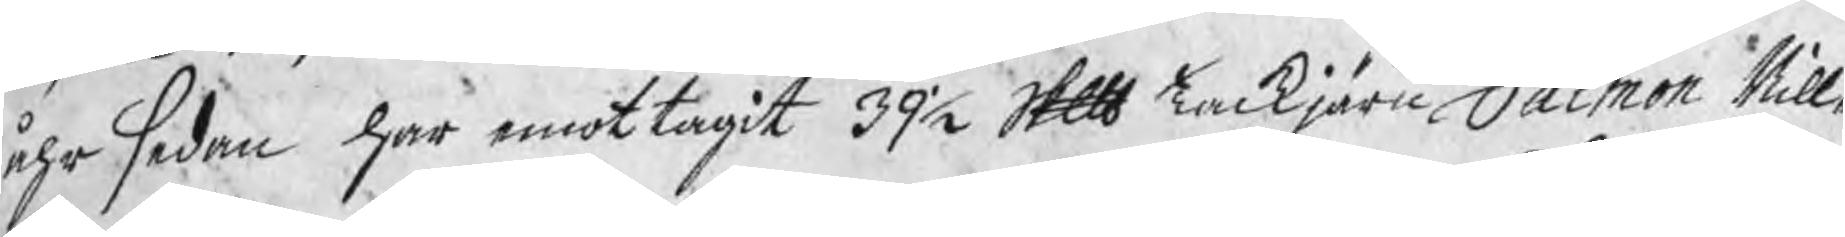åhr sedan har emottagit 39½ Skp Tackjärn Salmon Nill¬
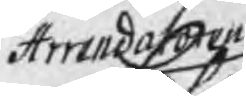Arrendatoren
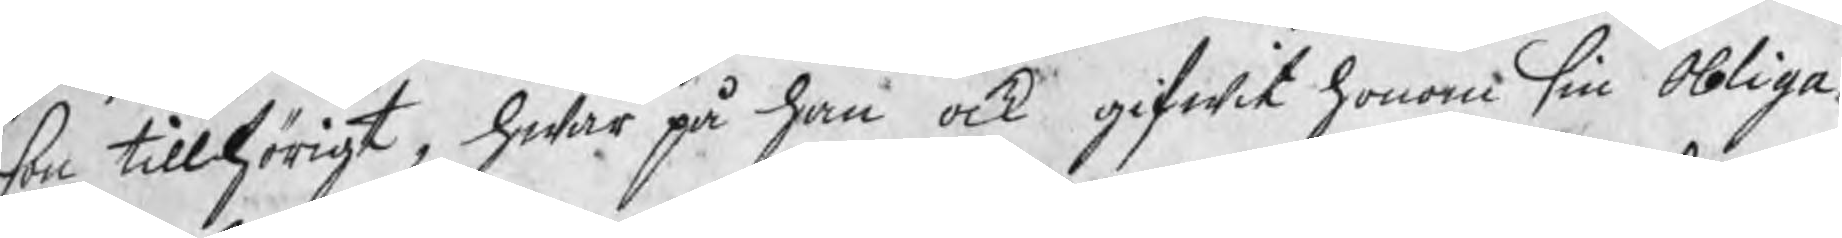son tillhörigt, hwar på han ock gifwit honom sin Obliga¬
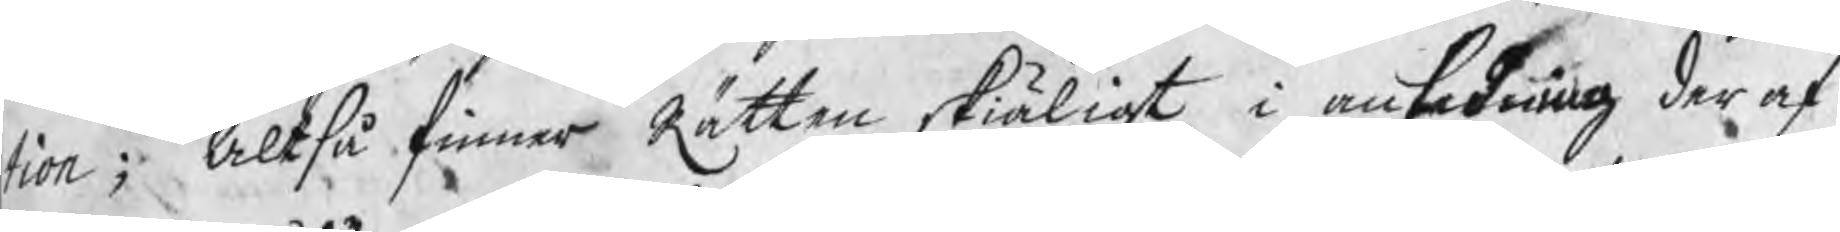tion; Altså finner Rätten skiäligt i anledning der af
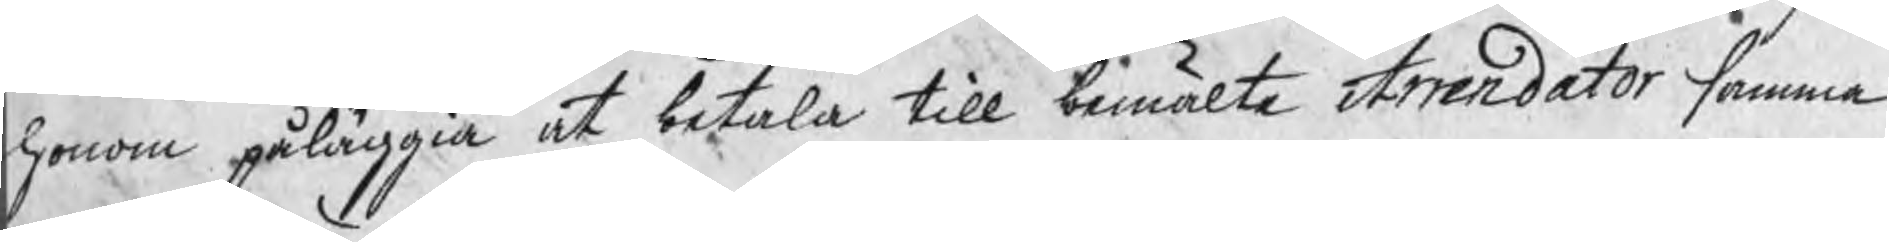honom påläggia at betala till bemälte Arrendator samma
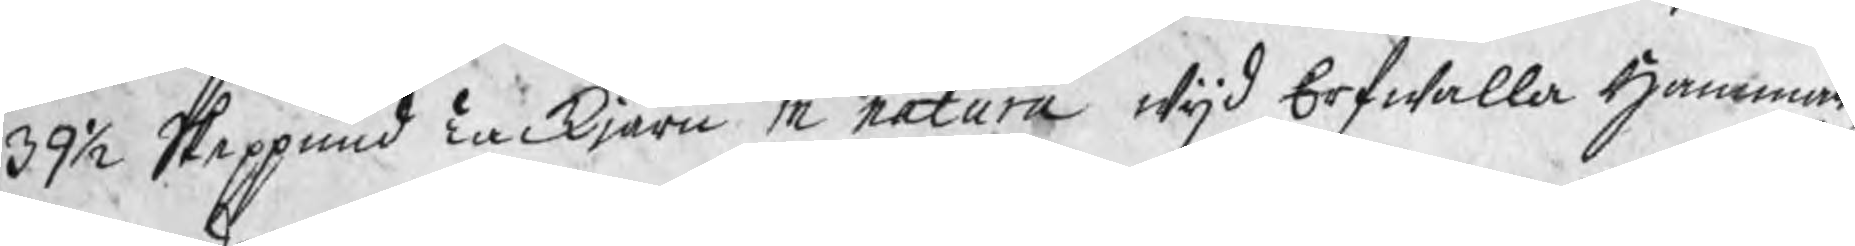39½ Skeppund Tackjärn in natura wijd Erfwalla Hammar,
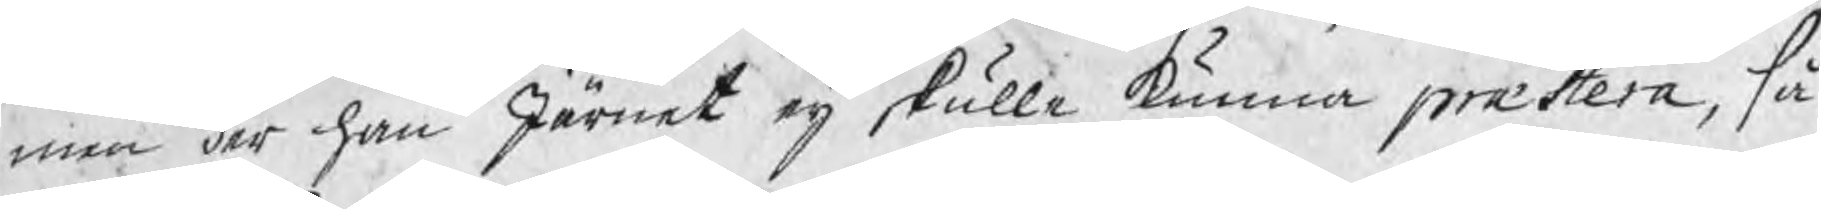men der han Järnet eij skulle kunna præstera, så
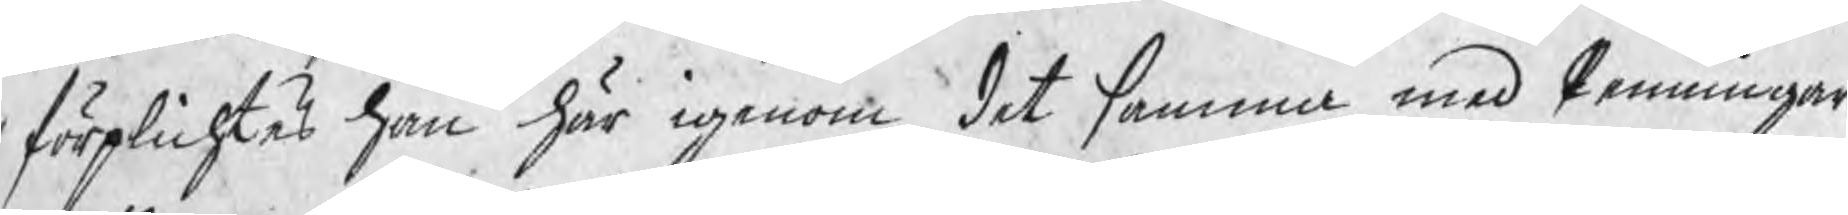förplichtes han här igenom det samma med Penningar
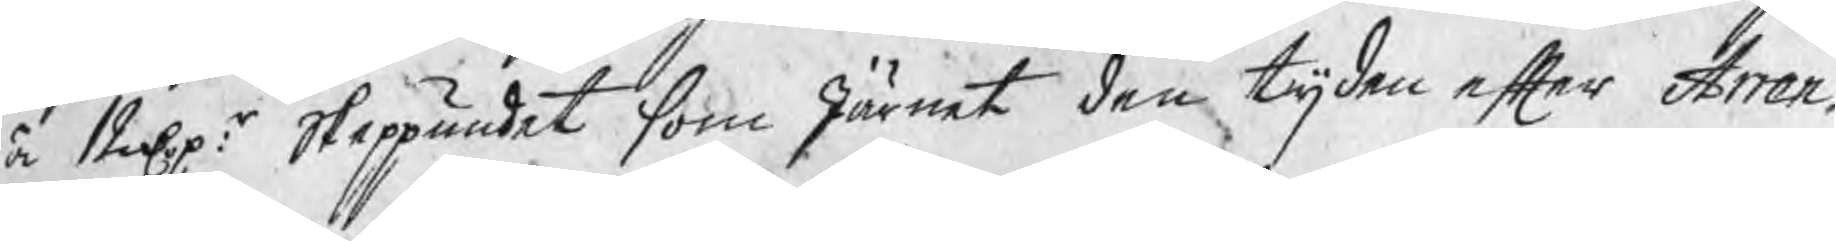à 12 Dpr: Skeppundet som Järnet den tijden efter Arren¬
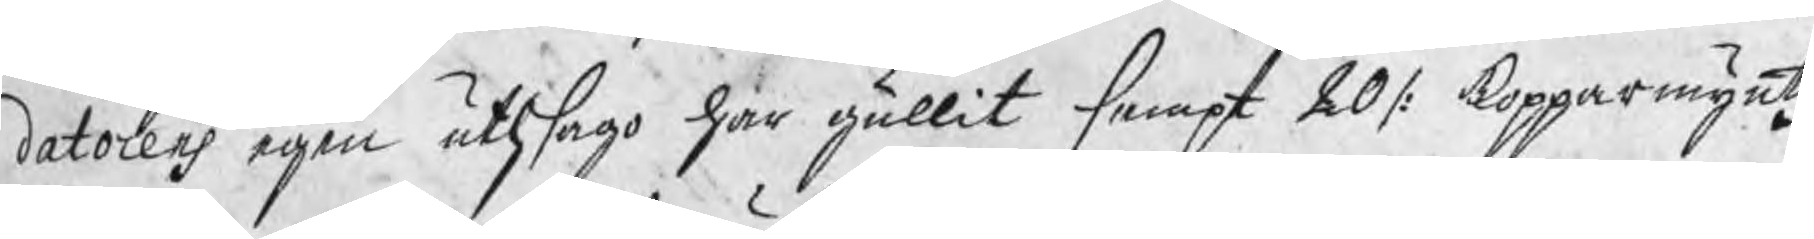datorens egen uthsago har gällit sampt 20 /: kopparmyntz
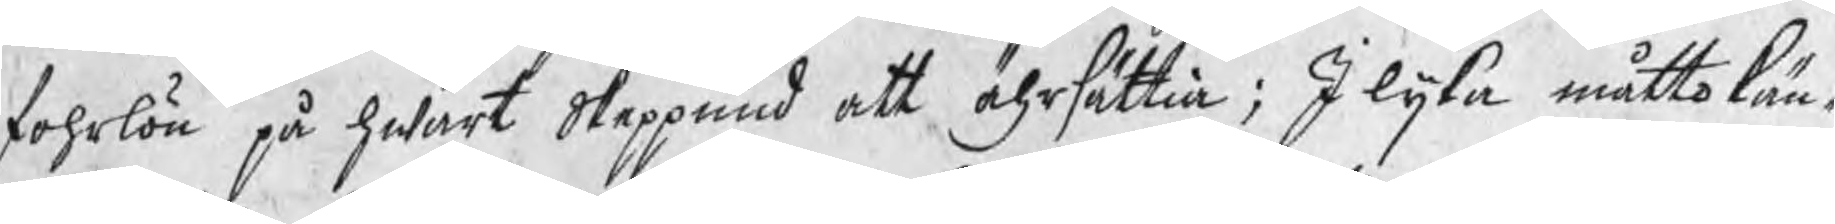fohrlön på hwart Skeppund att ährsättia; I lijka måtto kän¬
